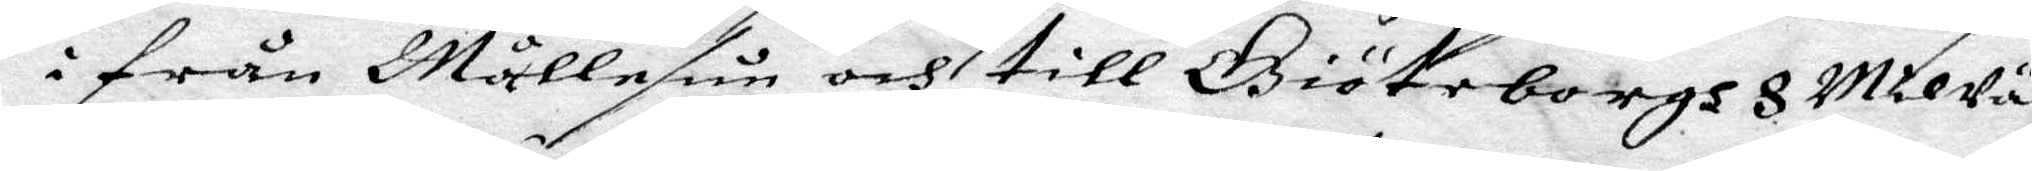i från Mållesun och till Giöteborgh 8 Mil Vägz
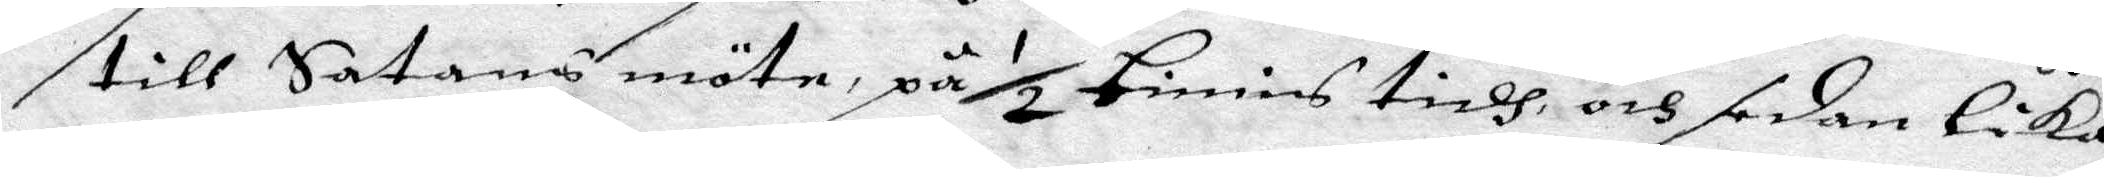till Satans möte, på ½ timis tidh, och sedan Lika
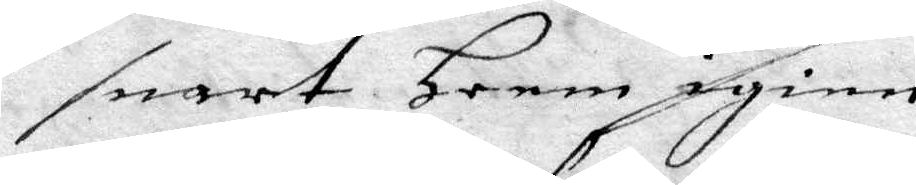snart Heem igien
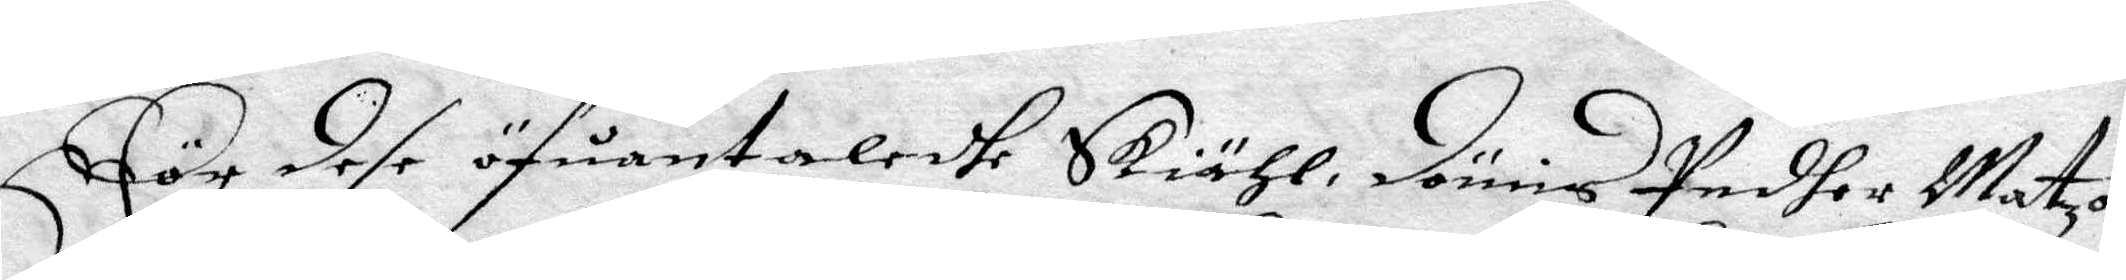För dese öfuantaledhe Skiähk, dömis Pedher Matzon
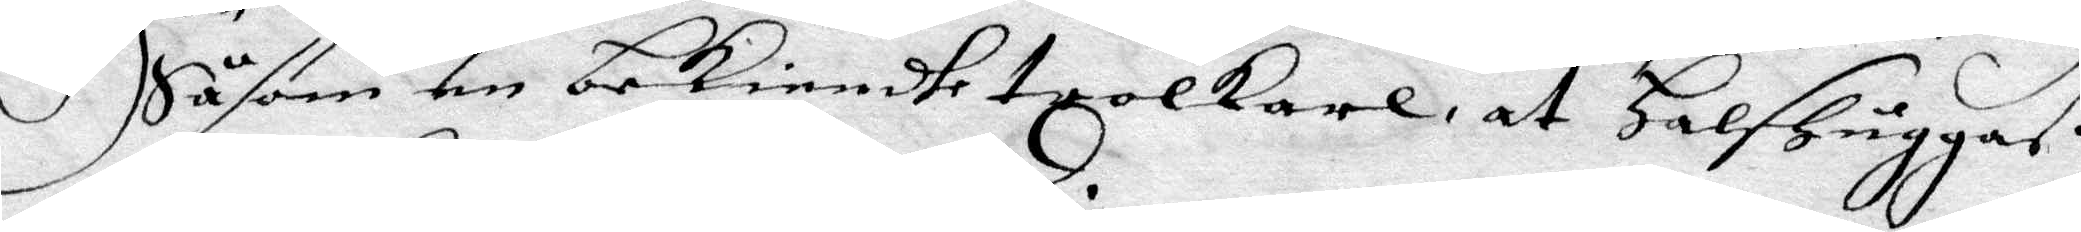Såsom en Bekeindhe trolkarl, at Halshuggaß
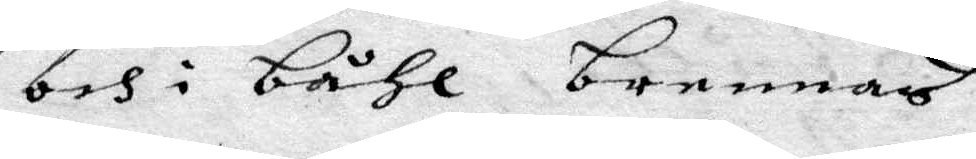och i båhl brennas.
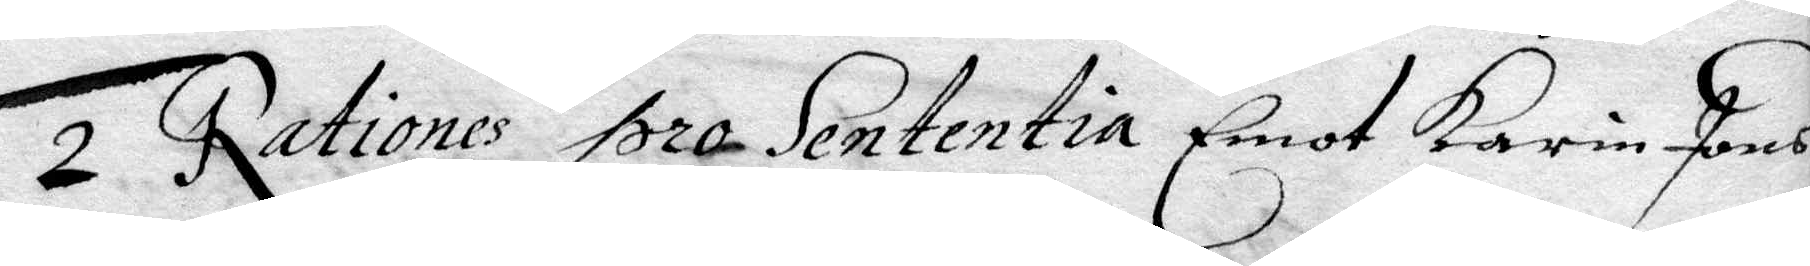2 Rationes pro Sententia Emot Karin Jons
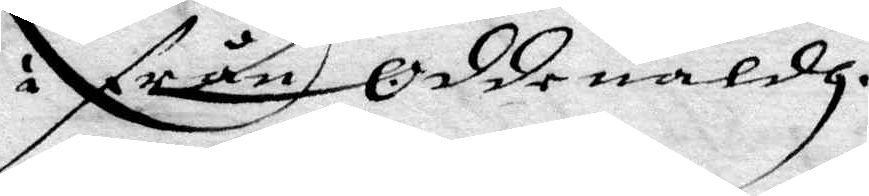i från Oddeualdh.
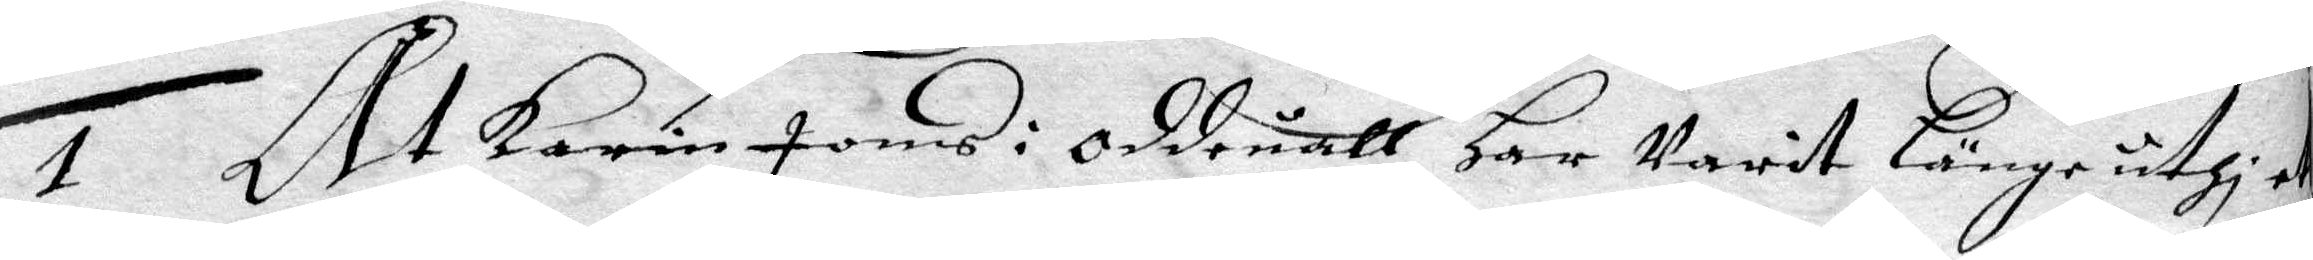1 At Karin Jons i Oddeuall Har Varit Länge uthi et
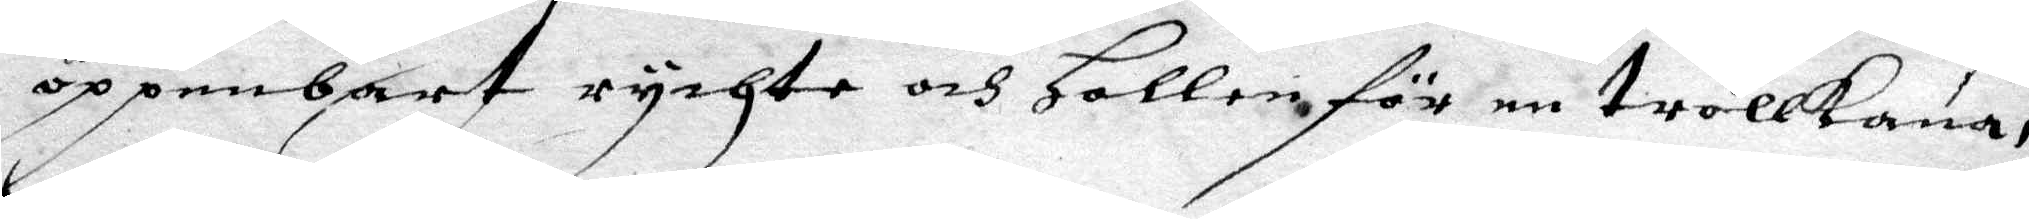öppenbart rychte och Hollen för en trollkona,
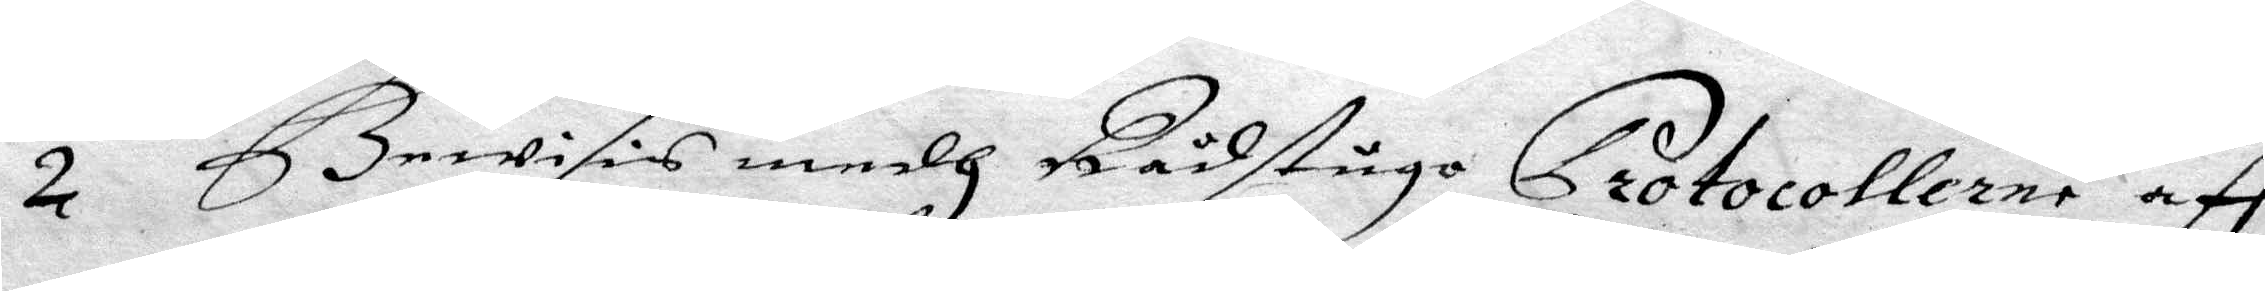2 Bewisis medh Rådstugo Protocollerne aff
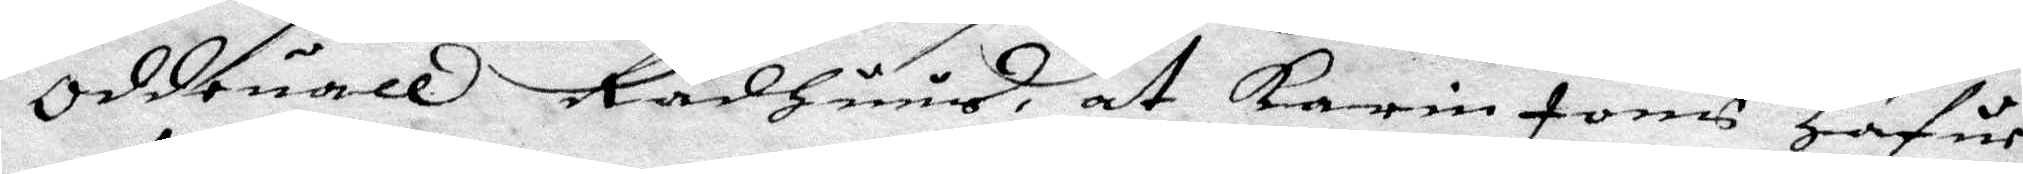Oddeuall Rådhuus, at Karin Jons Hafuer
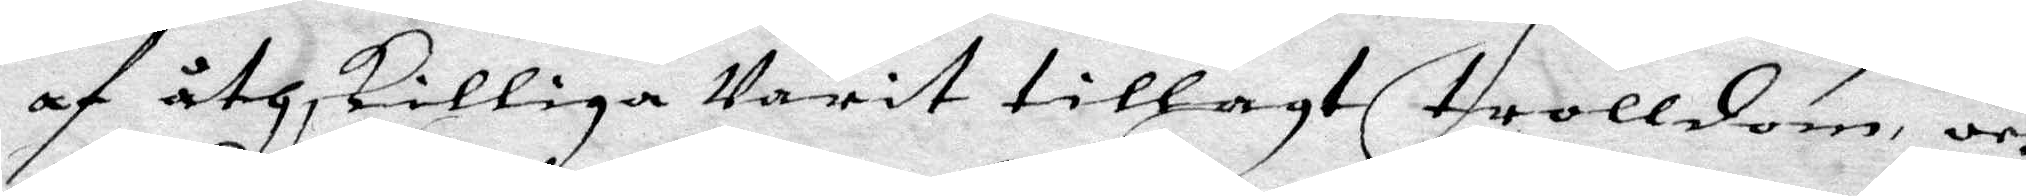af åthskillige Varit tillagt trolldom, och
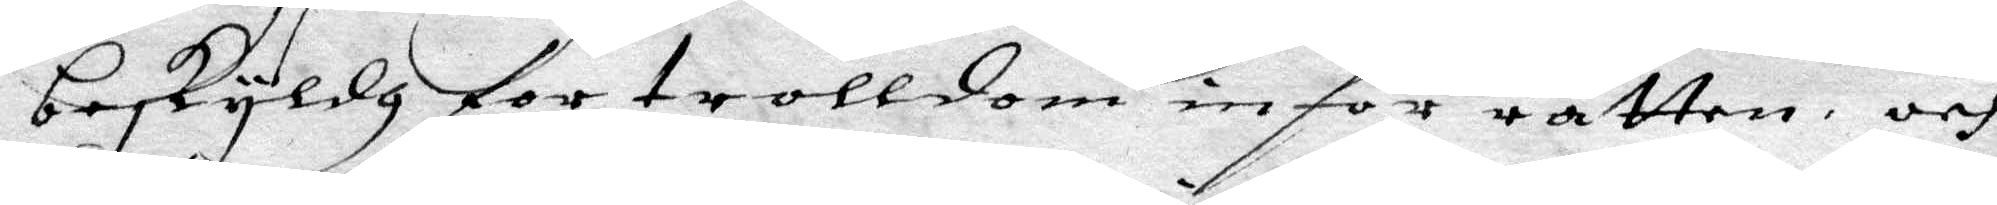beskyldh for trolldom inför rätten, och
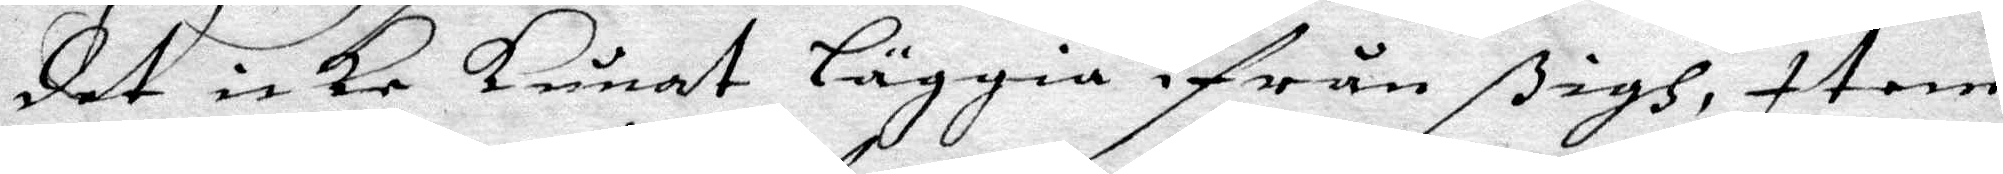det icke kunat läggia ifrån ßigh, item
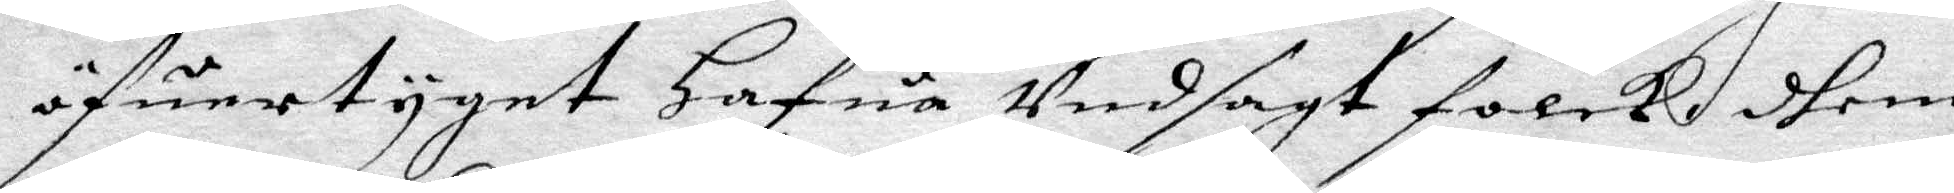öfuertyget Hafua Vedsagt folck dhem
